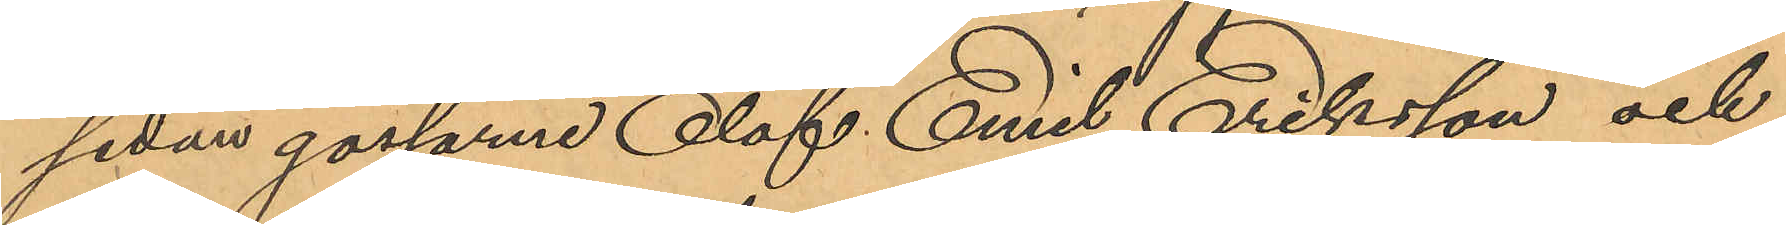sedan gossarne Olof Emil Eriksson och
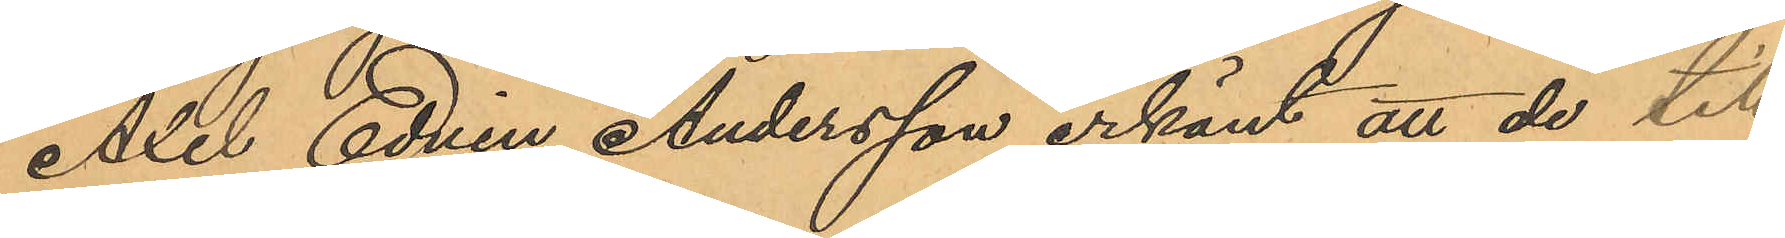Axel Edvin Andersson erkänt att de till
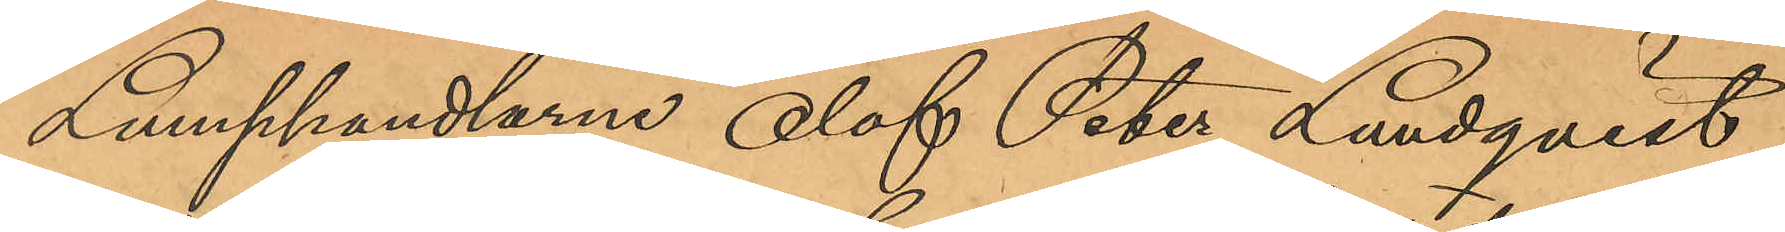Lumphandlarne Olof Peter Lundqvist
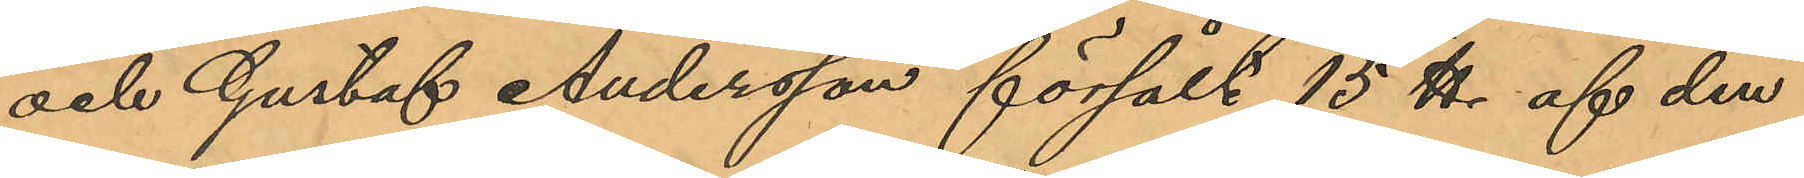och Gustaf Andersson försålt 15 ℔ af den
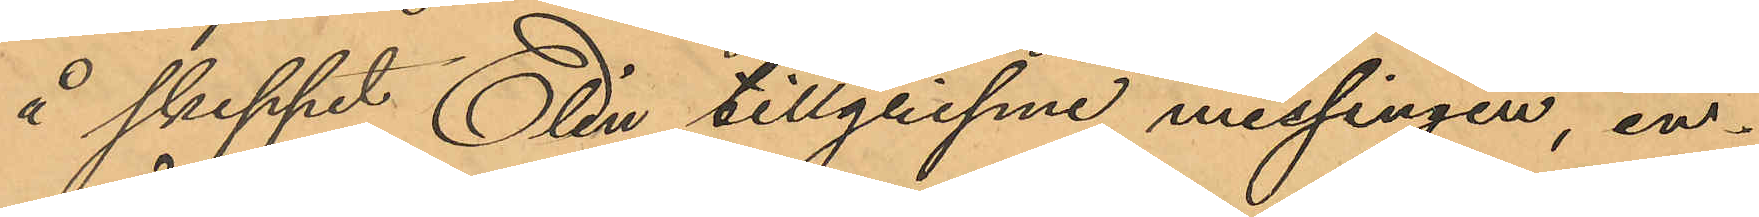å skeppet Elin tillgripne messingen, in¬
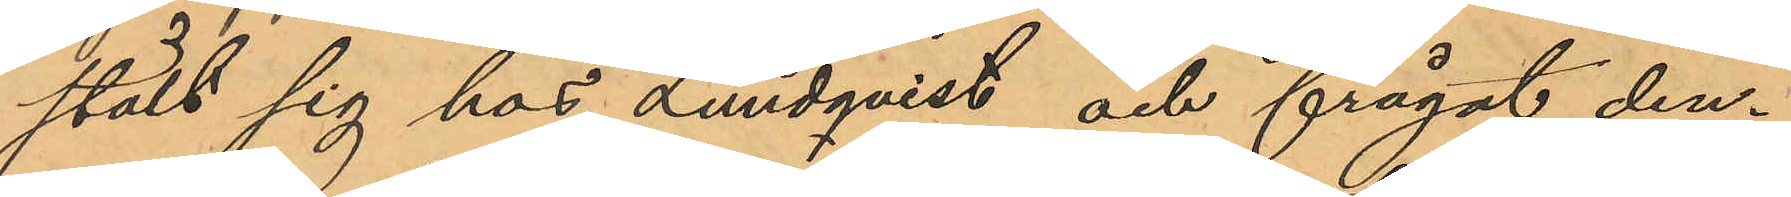stält sig hos Lundqvist och frågat den¬
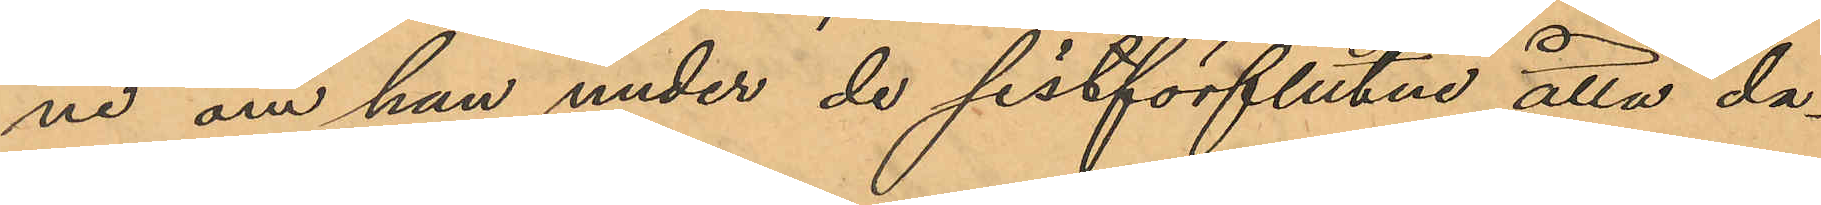ne om han under de sistförflutne åtta da¬
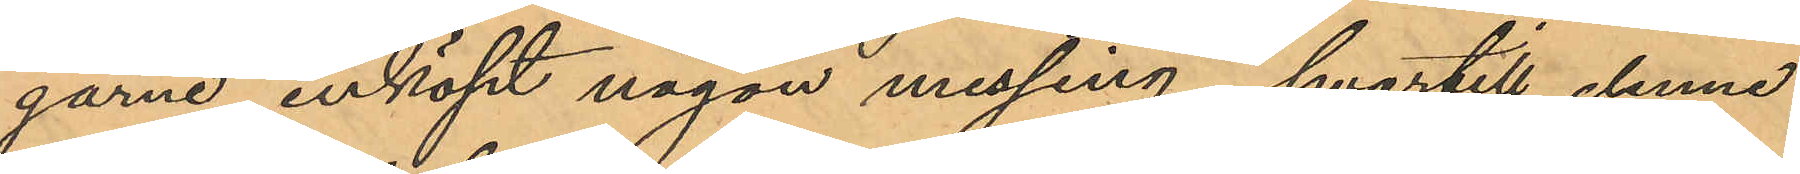garne inköpt någon messing, hvartill denne
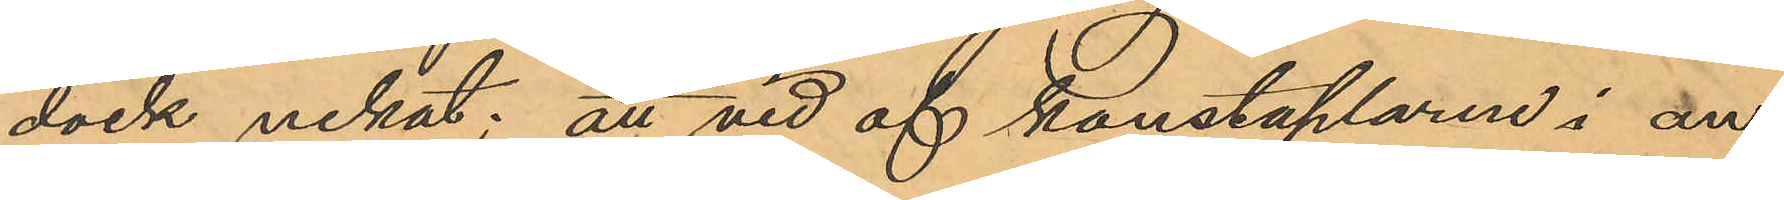dock nekat; att vid af konstaplarne i an¬
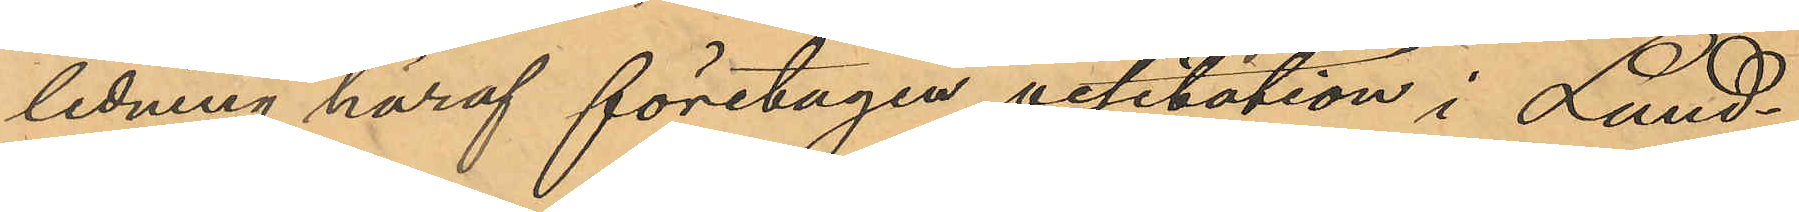ledning häraf företagen visitation i Lund¬
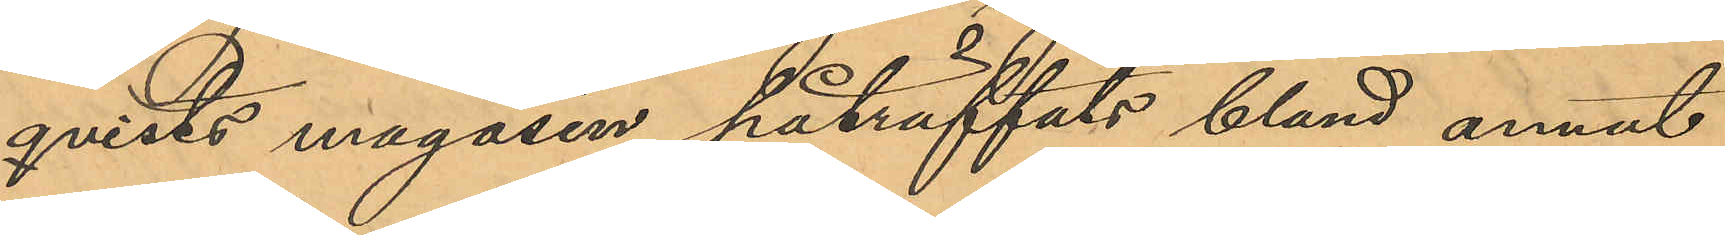qvists magasin påträffats bland annat
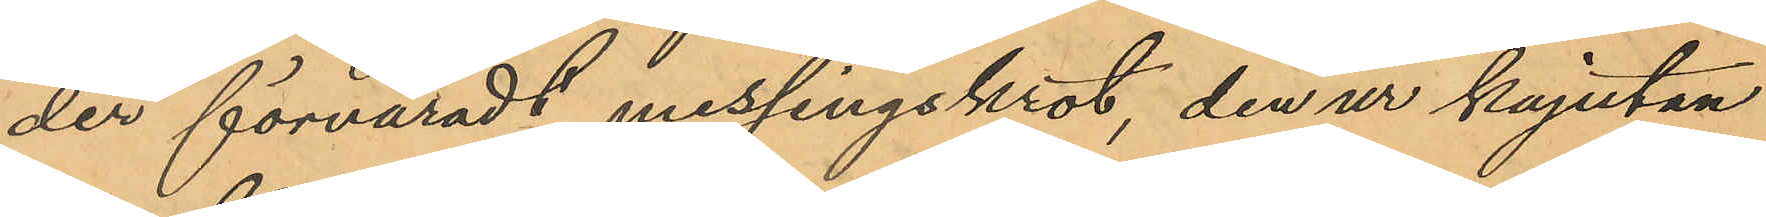der förvaradt messingskrot, den ur kajutan
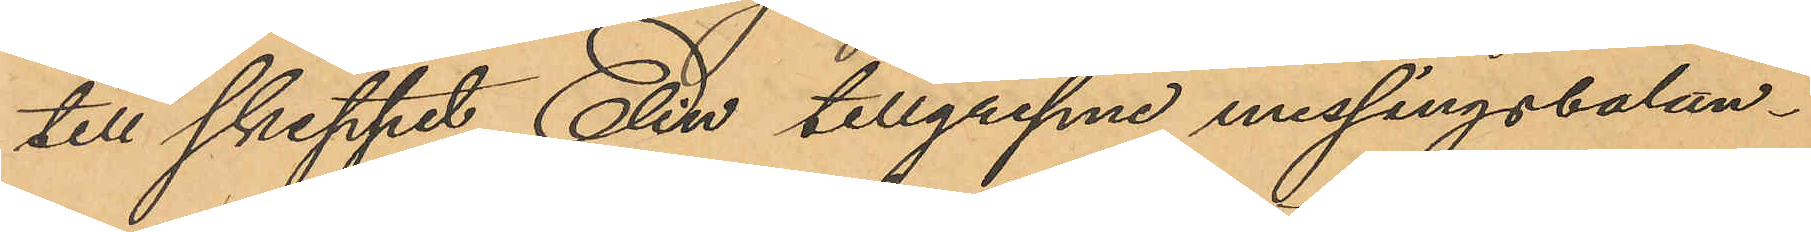till skeppet Elin tillgripne messingsbalan¬
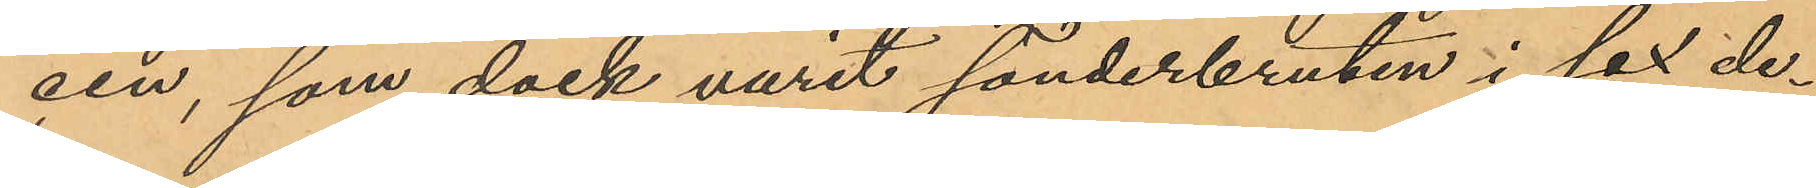cen, som dock varit sönderbruten i sex de¬
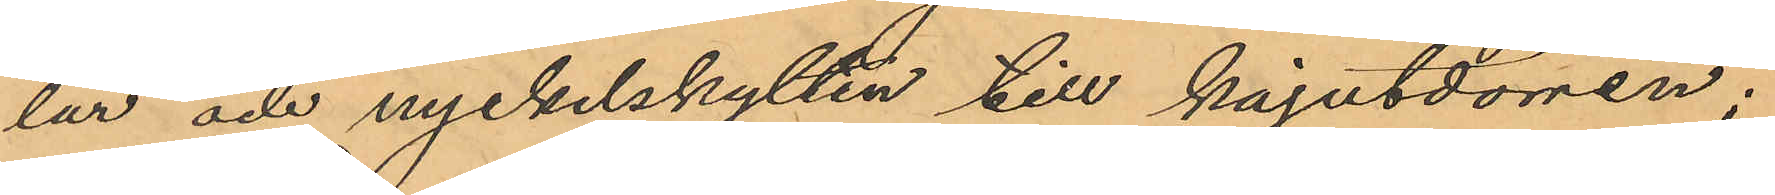lar och nyckelskylten till kajutdörren;
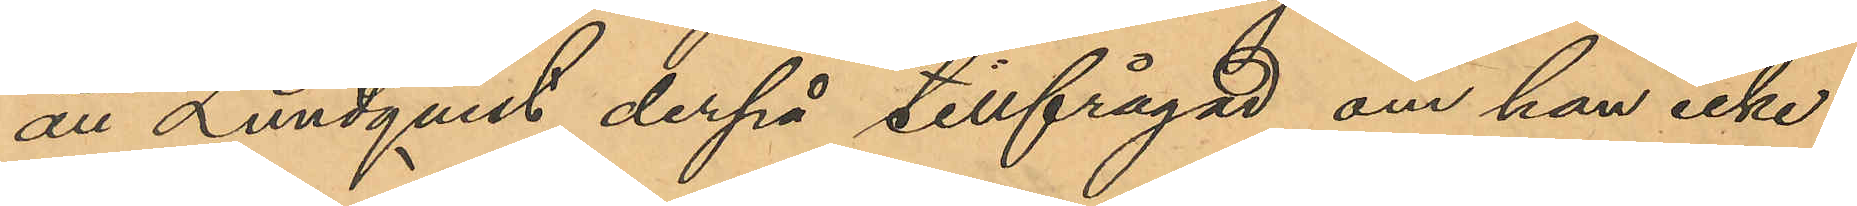att Lundqvist derpå tillfrågad om han icke
